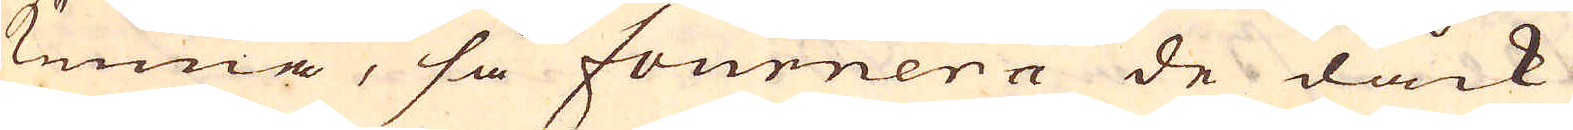kunna, så fournera de dåck
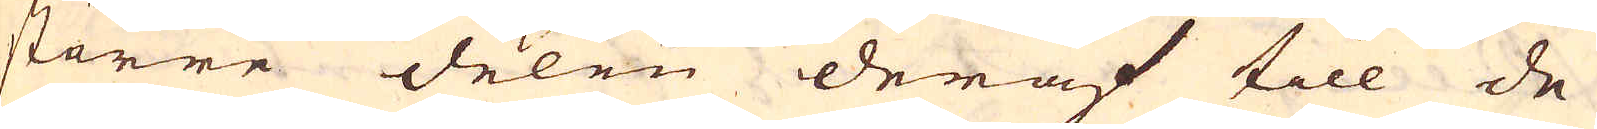större delen deraf till de
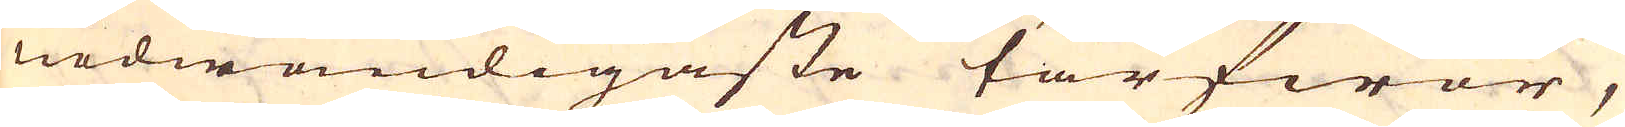nödwändigaste tarfwor,
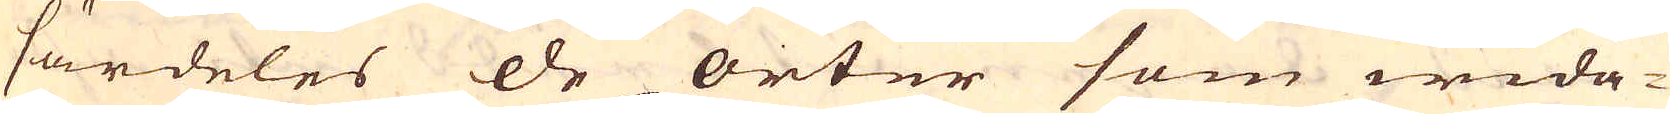särdeles de orter som wida-
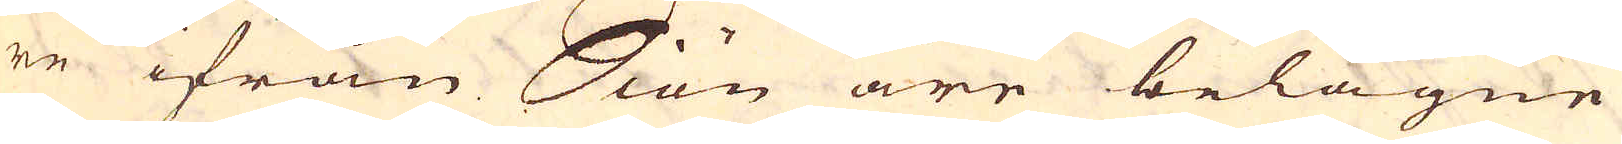re ifrån Siön äre belägne
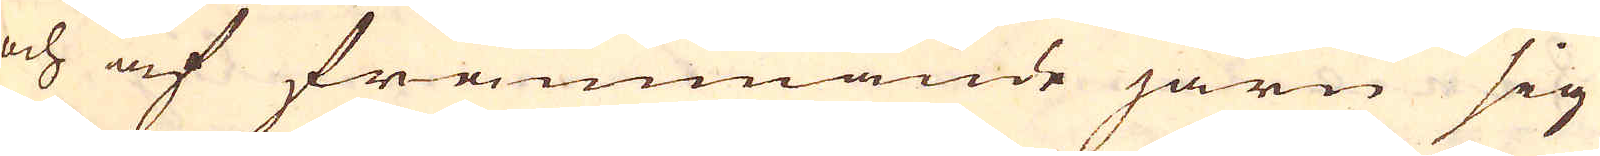och af främmande järn sig
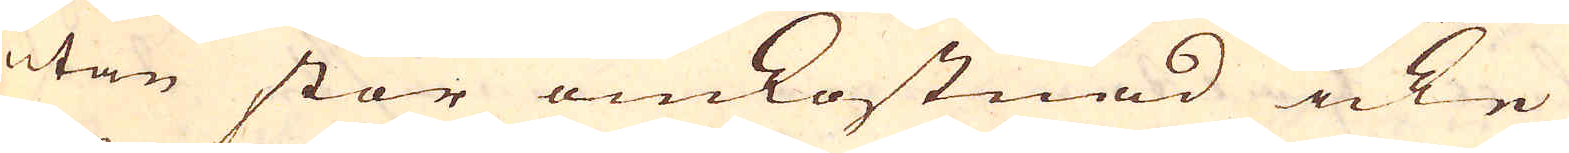utan stor omkostnad icke
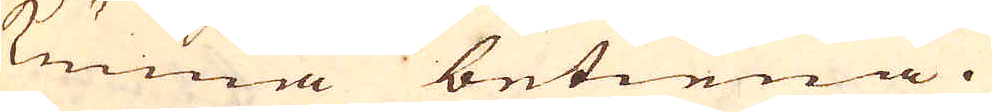kunna betiena.
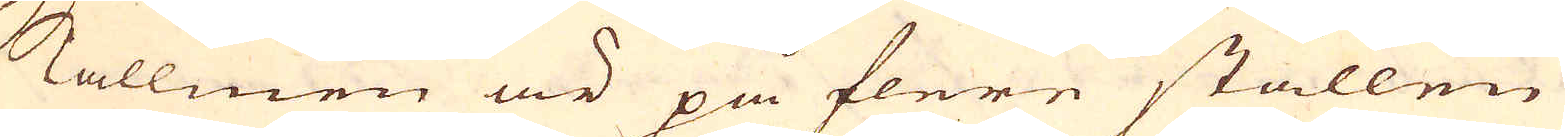Mallmen är på flere ställen
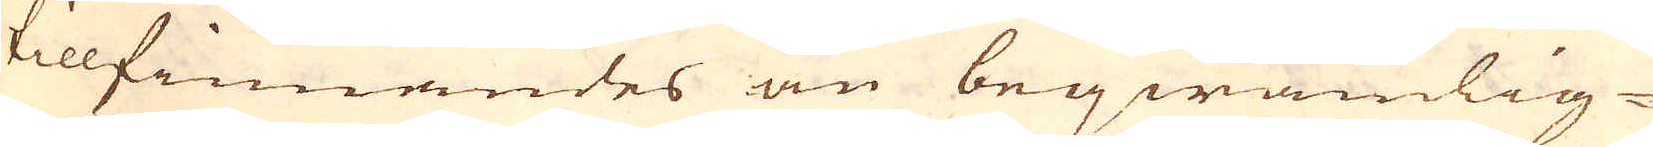tillfinnandes än beqwämlig-
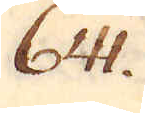641.
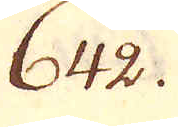642.
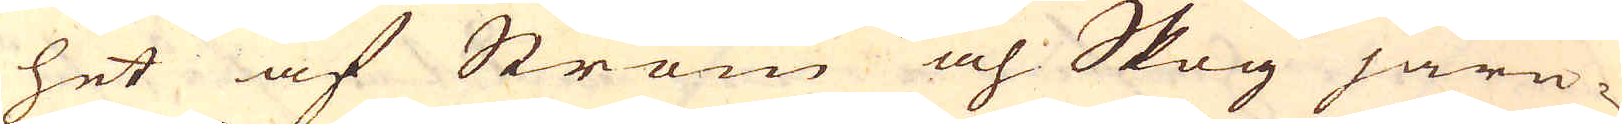het af Ström och Skog järn-
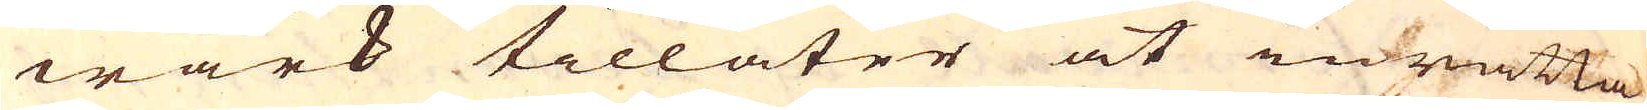wärk tillåter at inrätta,
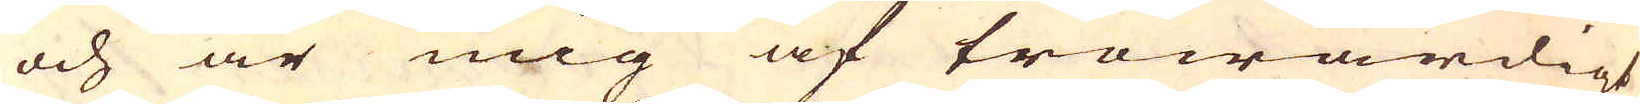och är mig af trowärdigt
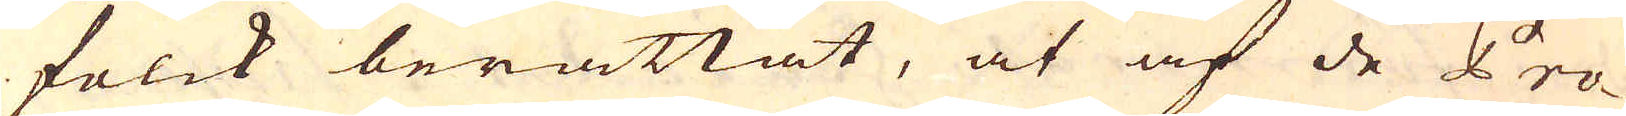folck berättat, at af de Pro-
